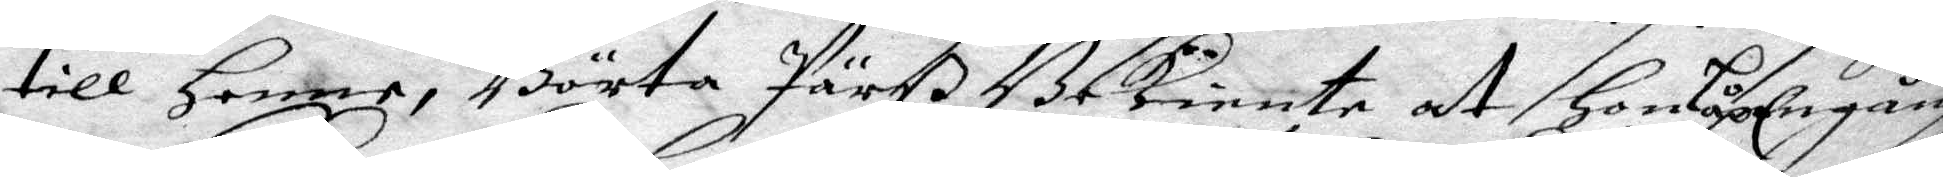till Henne, Börta Pärß Bekiente at hon Låp Engång
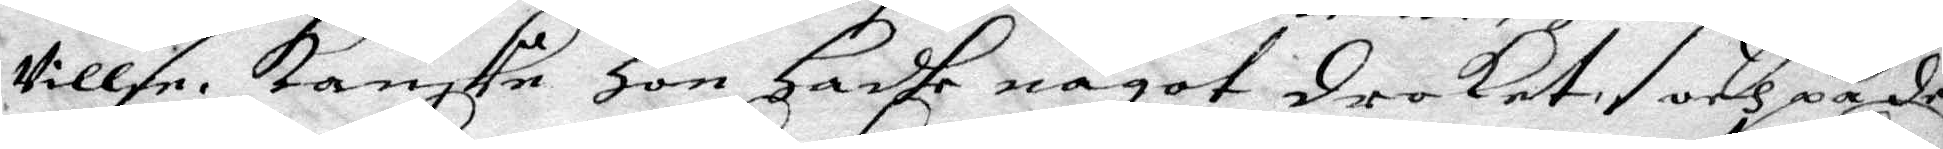Villse. Kanske Hon Hadhe något droket, och på de
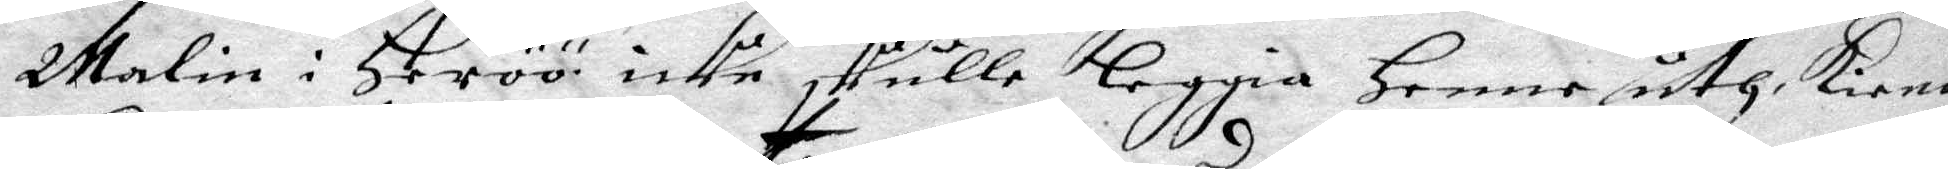Malin i Heröö icke skulle leggia Henne uth Kiende
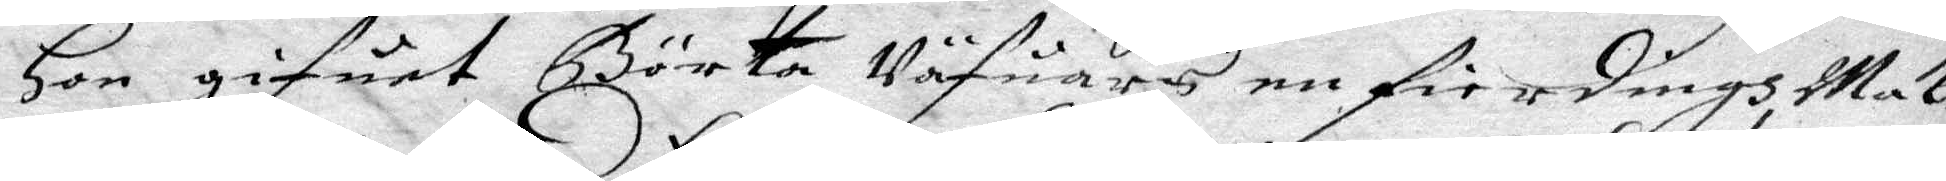Hon gifuet Börta Väfuars en fierdingh Makr
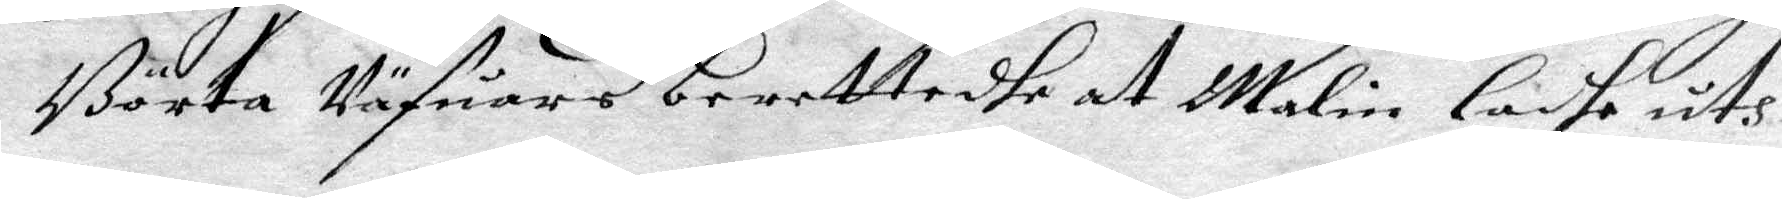Börta Väfuars berettadhe at Malin ladhe uth
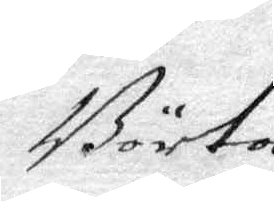Börta
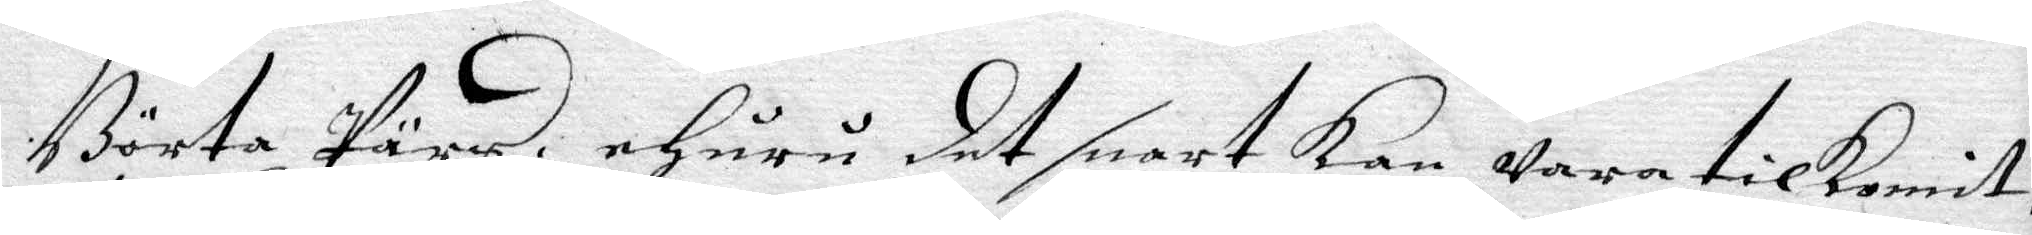Börta Pärs ehuru det snart Kan wara tilkomit,
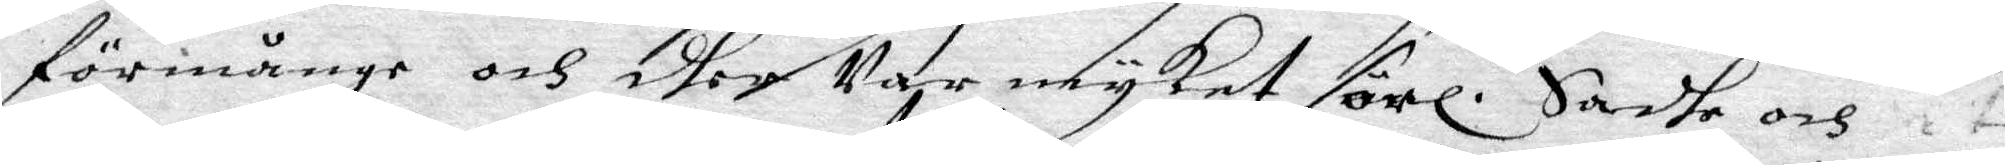förmånge och dher Var myket sörl. Sadhe och 
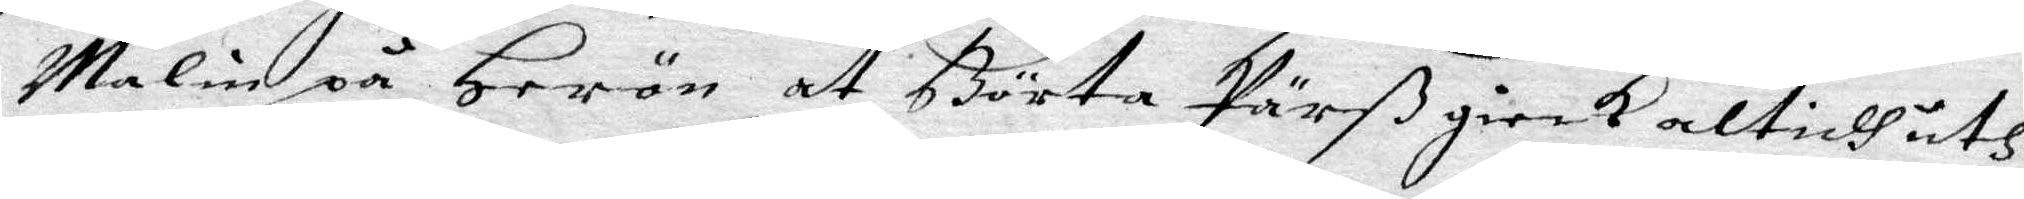Malin på Herön at Börta Pärß gierk altidh uth
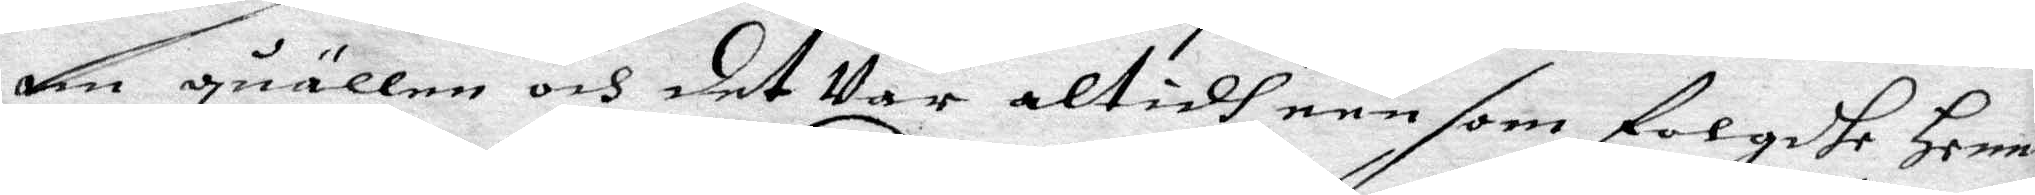om quällen och det Var altidh een som folgdhe henne
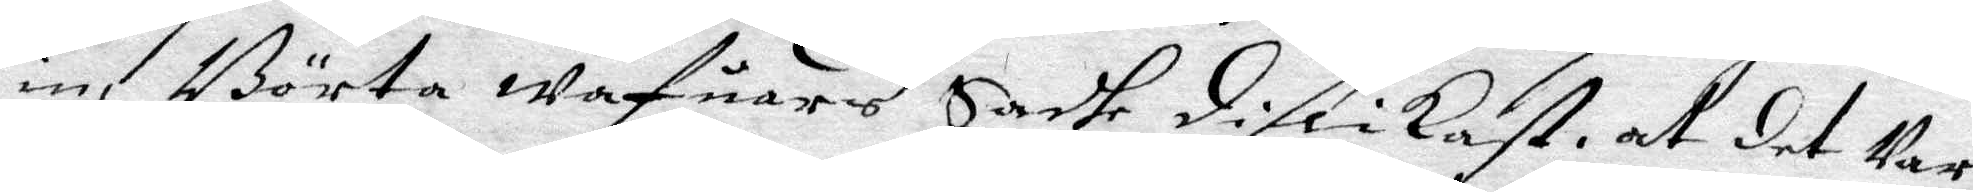in, Börta wäfuares Sadhe dislikast, at det Var
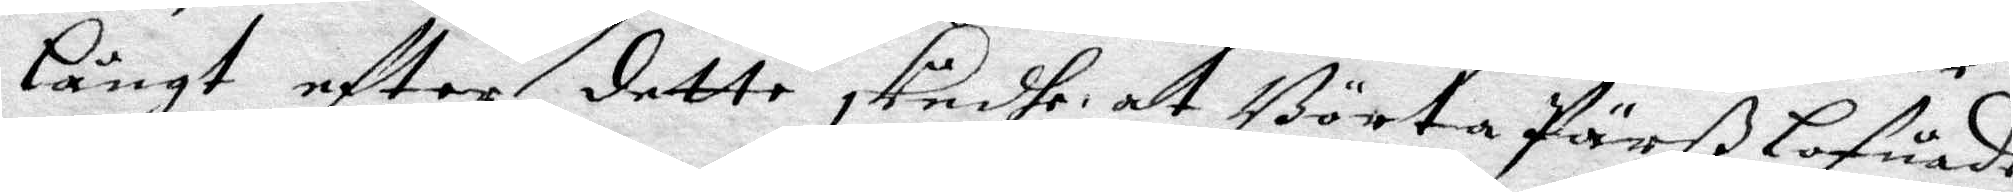långt efter dette skedhe at Börta Pärß lofuade
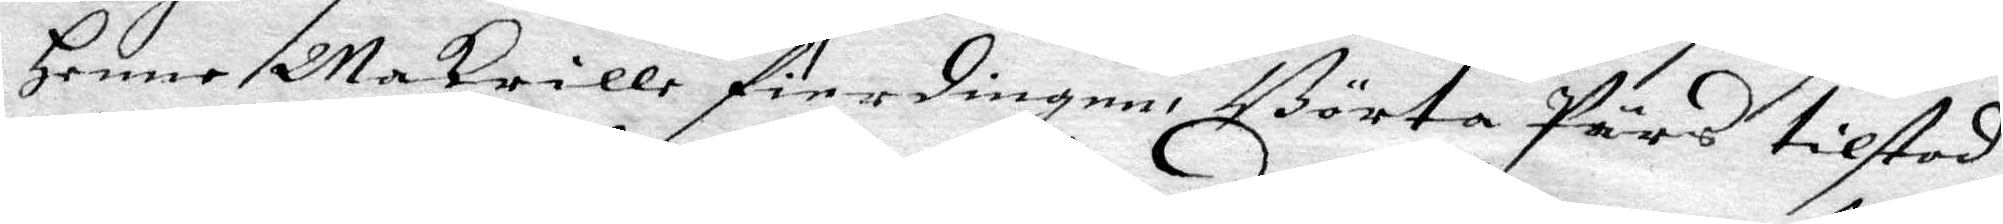henne Makrille fierdingen, Börta Pärs tilstod
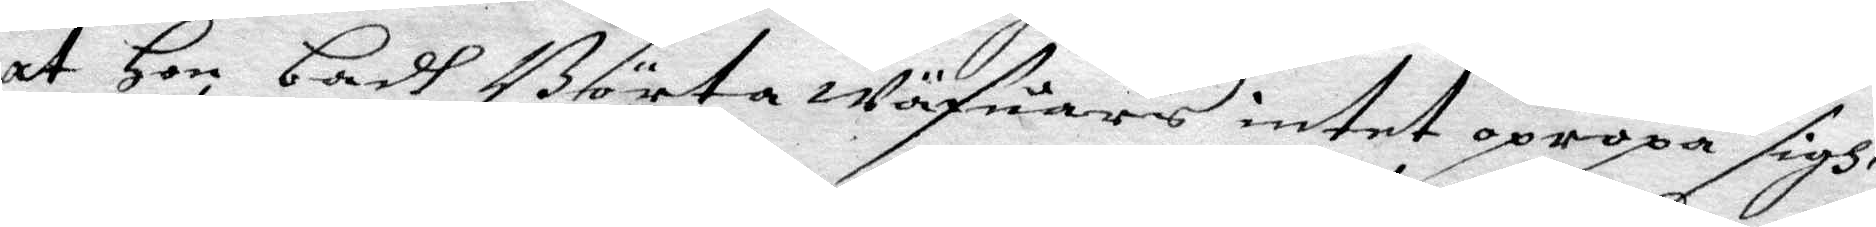at Hon badh Börta wäfuares intet opropa sigh,
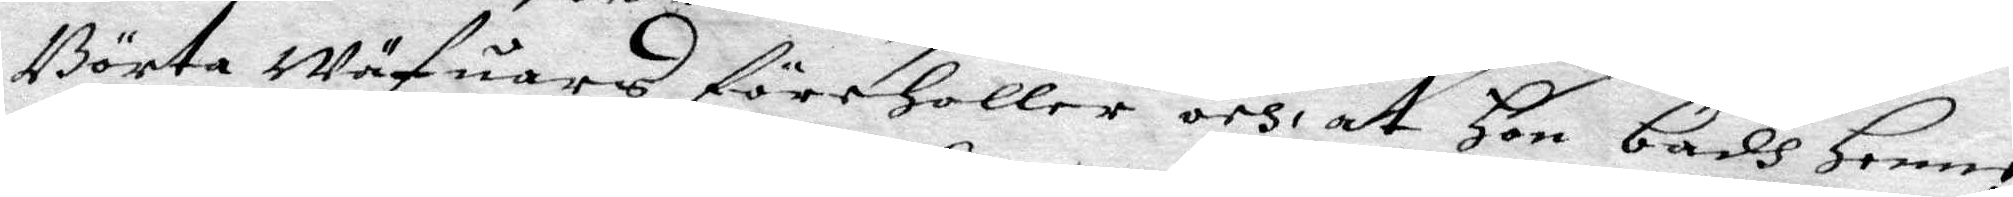Börta Wäfuares föreholler och at Hon badh Henne
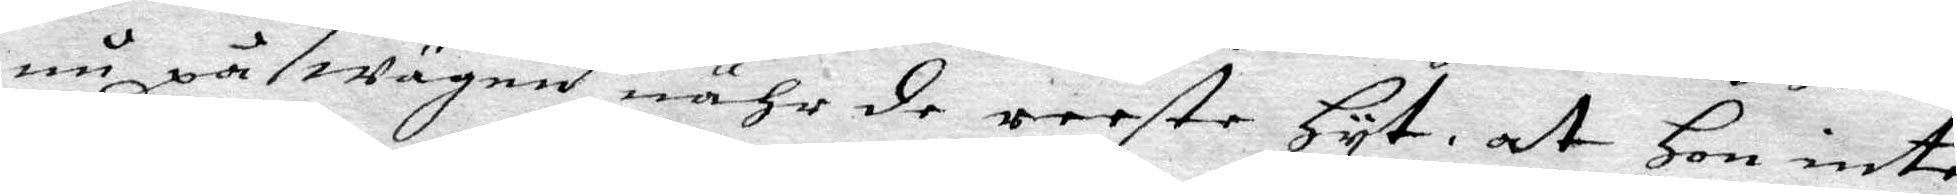nu på wägen nähr de reeste hyt, at Hon inte
